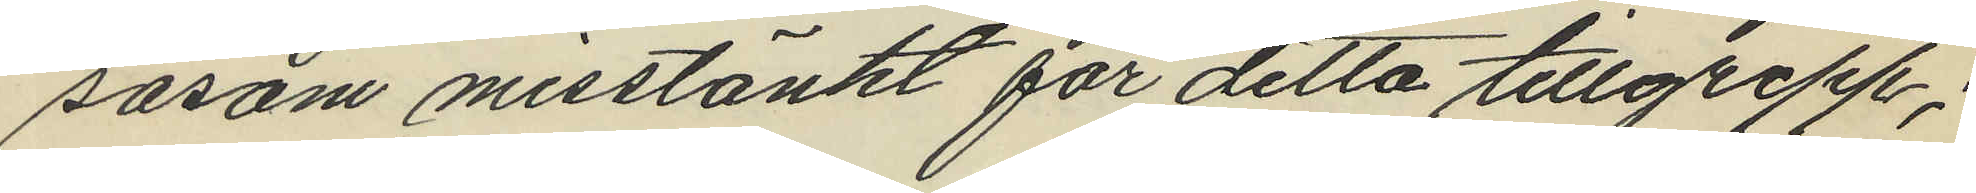såsom misstänkt för detta tillgrepp;
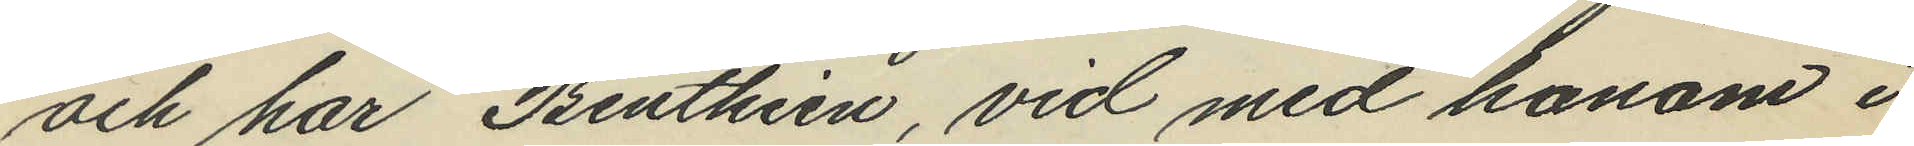och har Benthien, vid med honom i
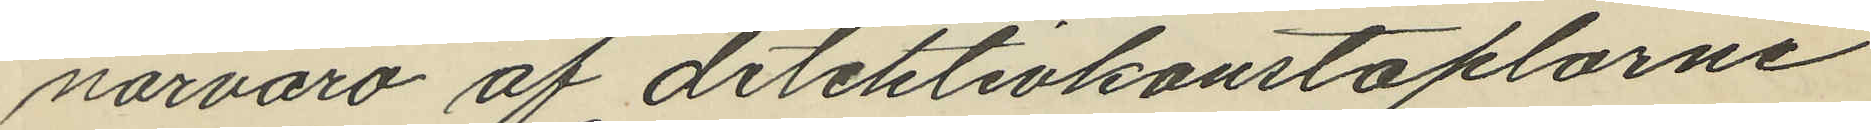närvaro af detektivkonstaplarne
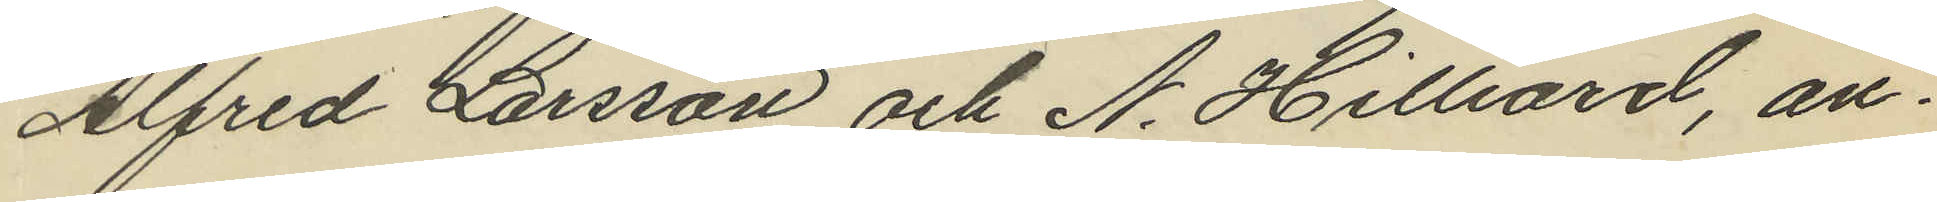Alfred Larsson och A. Hilliard, an¬
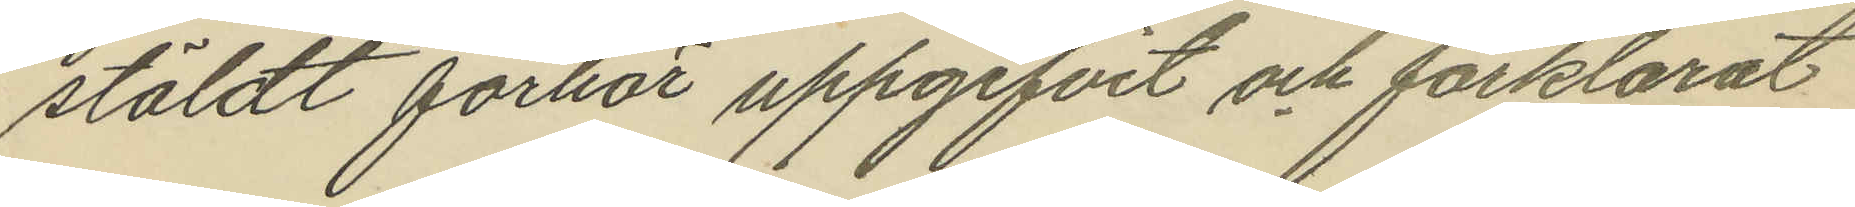stäldt förhör uppgifvit och förklarat
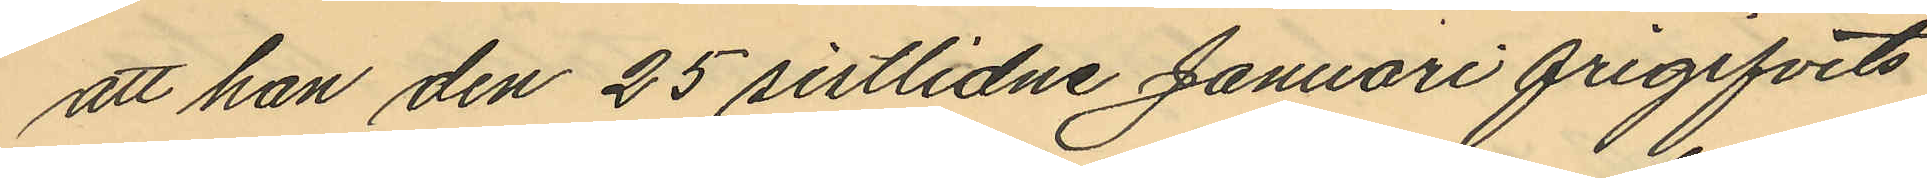att han den 25 sistlidne Januari frigifvits
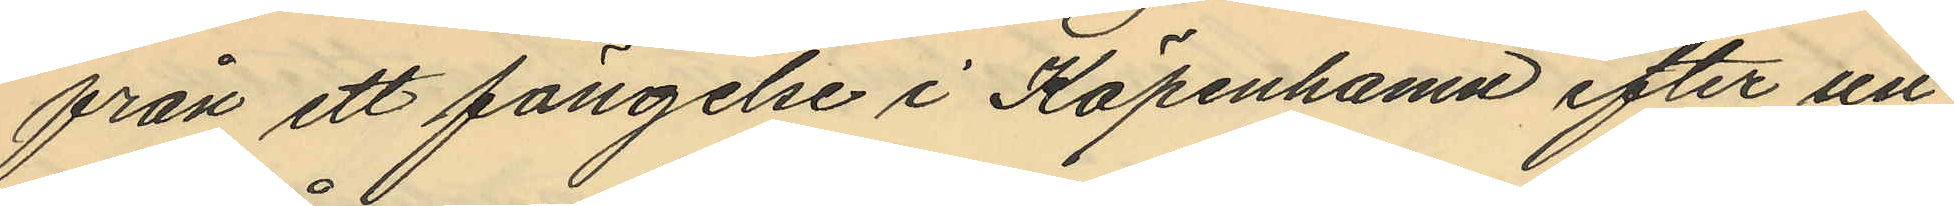från ett fängelse i Köpenhamn efter un¬
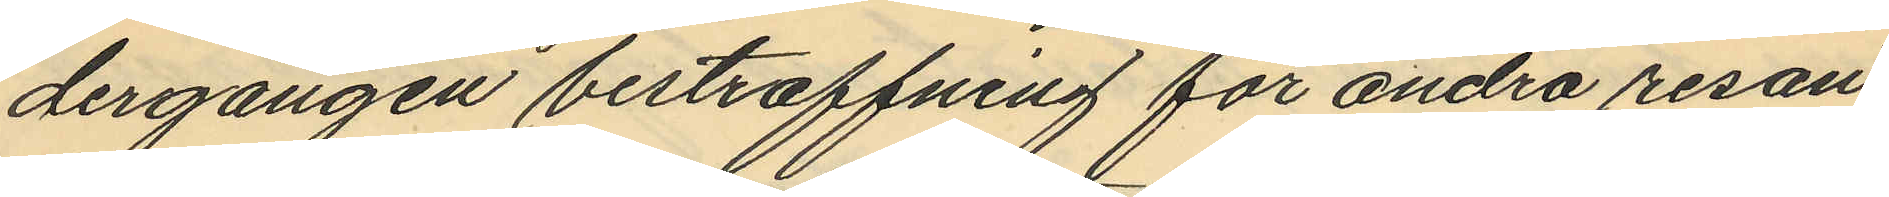dergången bestraffning för andra resan
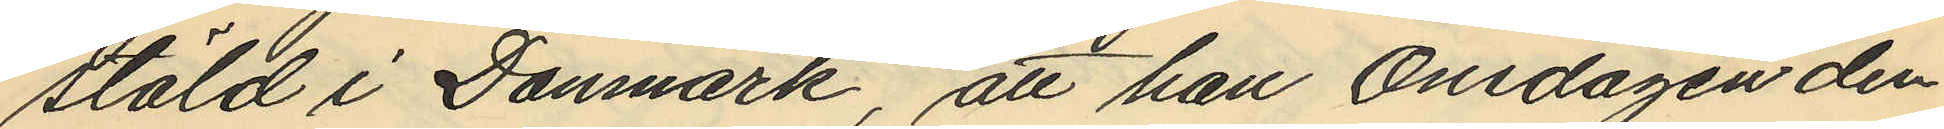stöld i Danmark, att han Onsdagen den
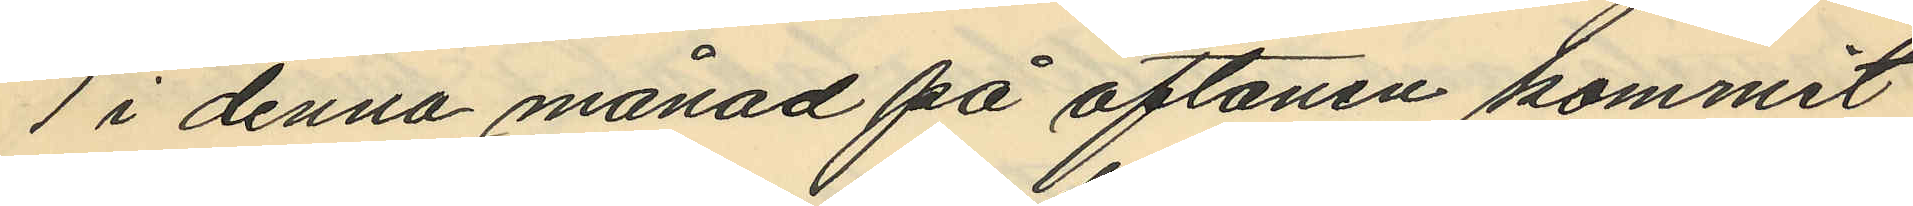1 i denna månad på aftonen kommit
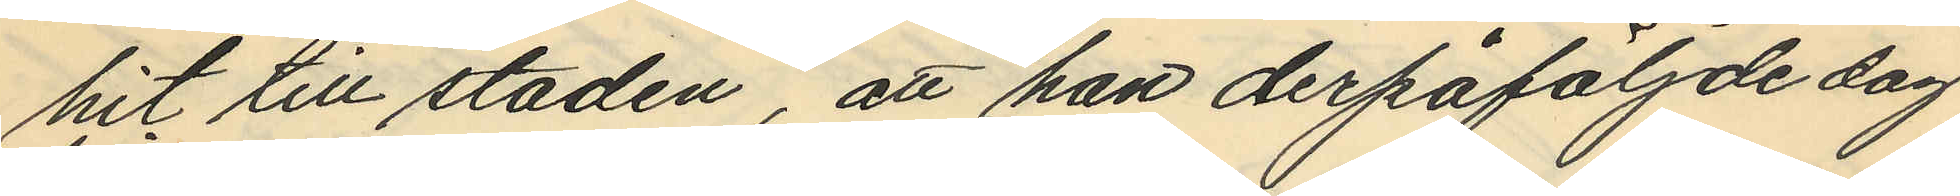hit till staden, att han derpåföljde dag
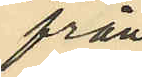från
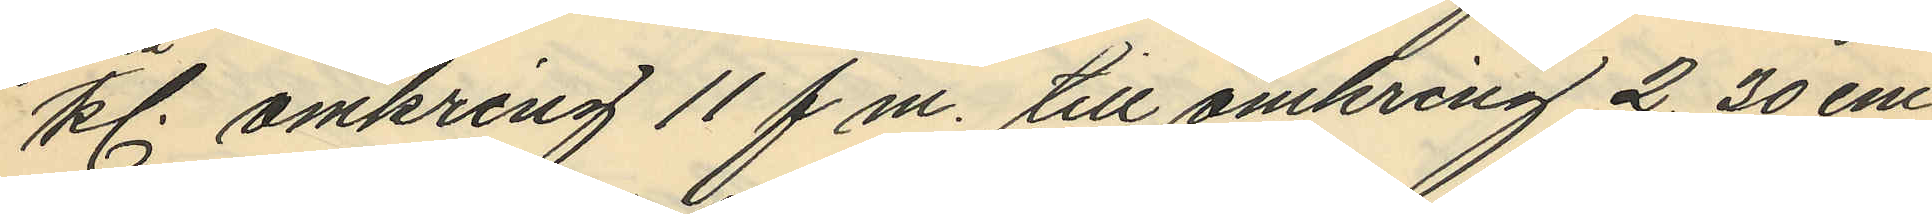kl. omkring 11 f.m. till omkring 2,30 em
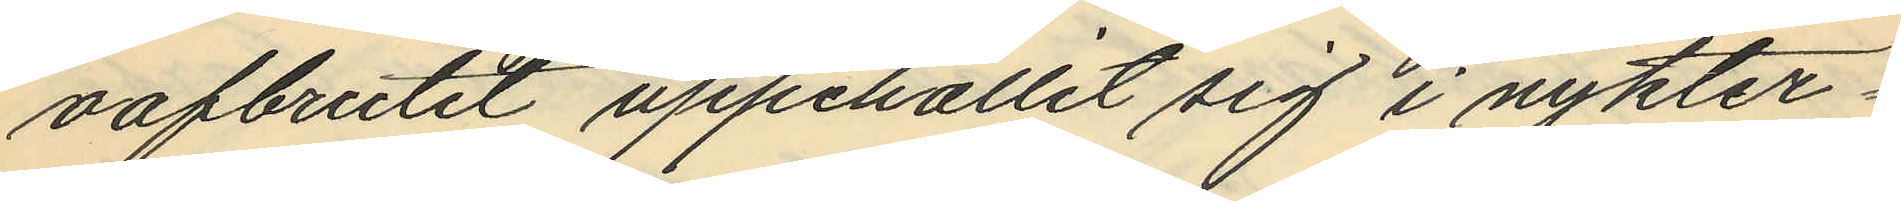oafbrutit uppehållit sig i nykter¬
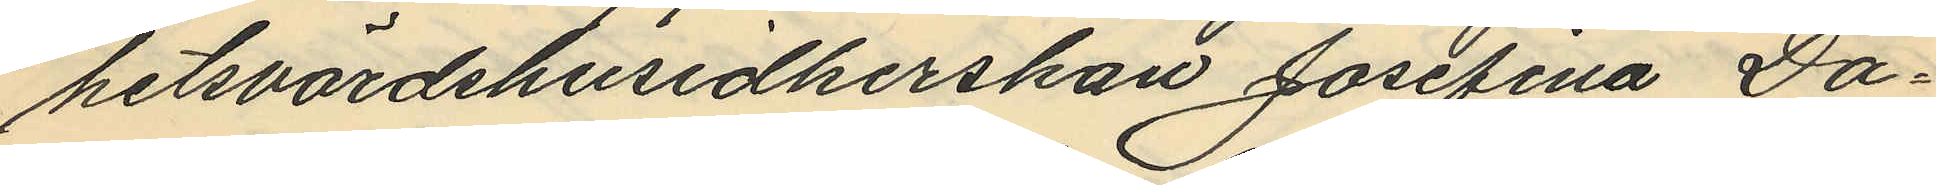hetsvärdshusidkerskan Josefina Da¬
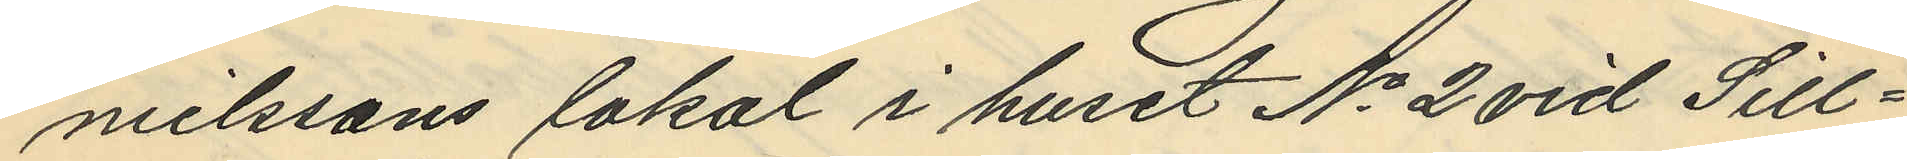nielssons lokal i huset No 2 vid Sill¬
